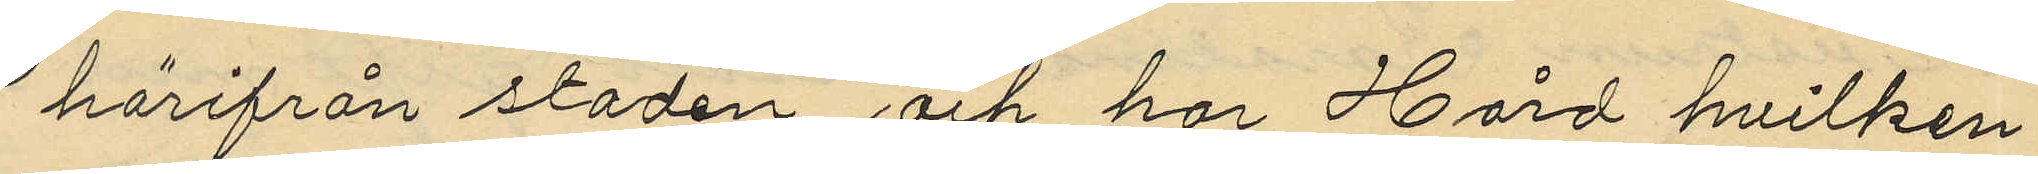härifrån staden, och har Hård hvilken
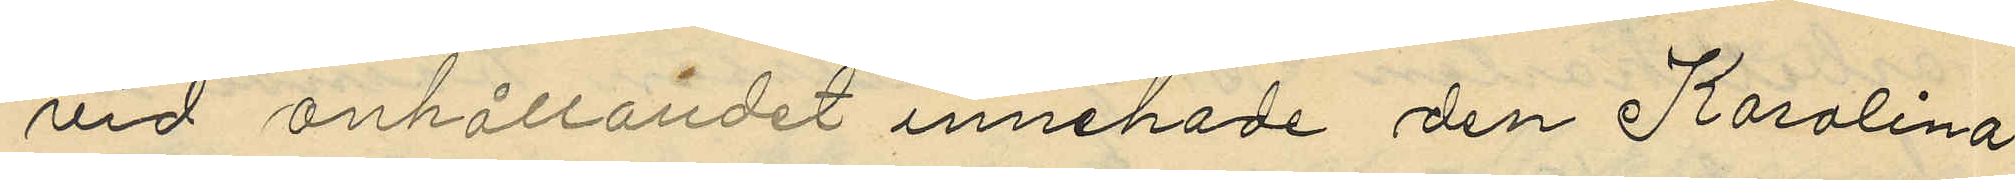vid anhållandet innehade den Karolina
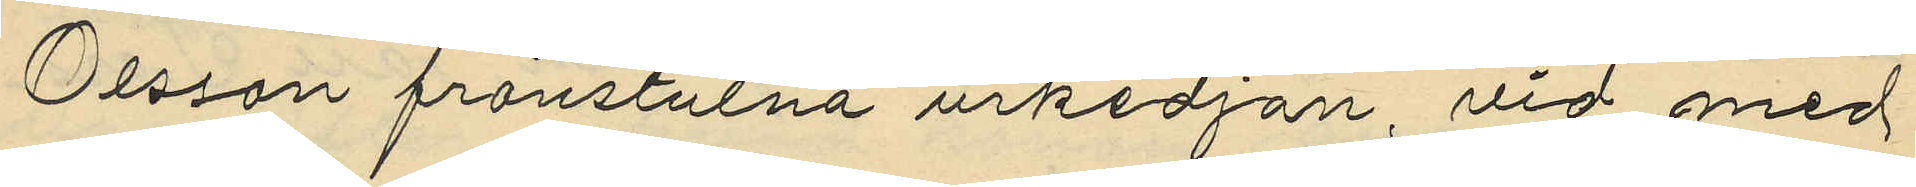Olsson frånstulna urkedjan, vid med
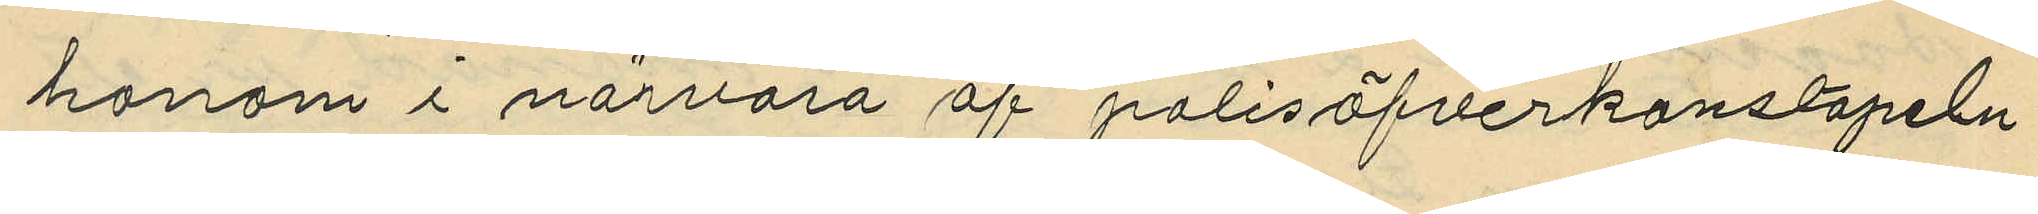honom i närvaro af polisöfverkonstapeln
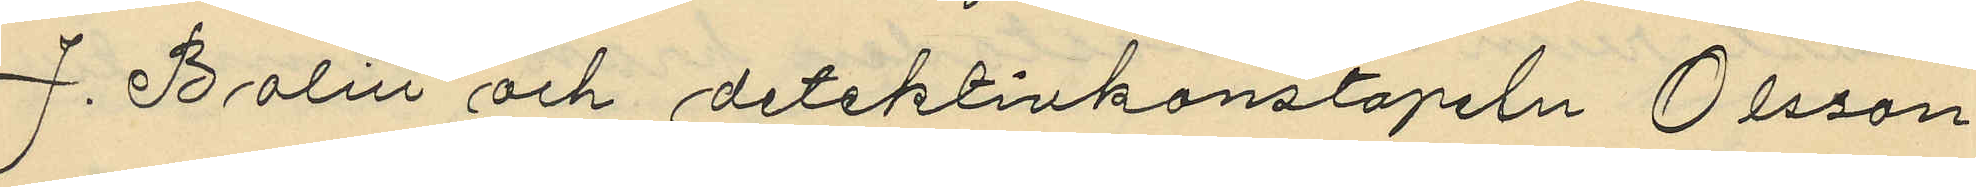J. Bolin och detektivkonstapeln Olsson
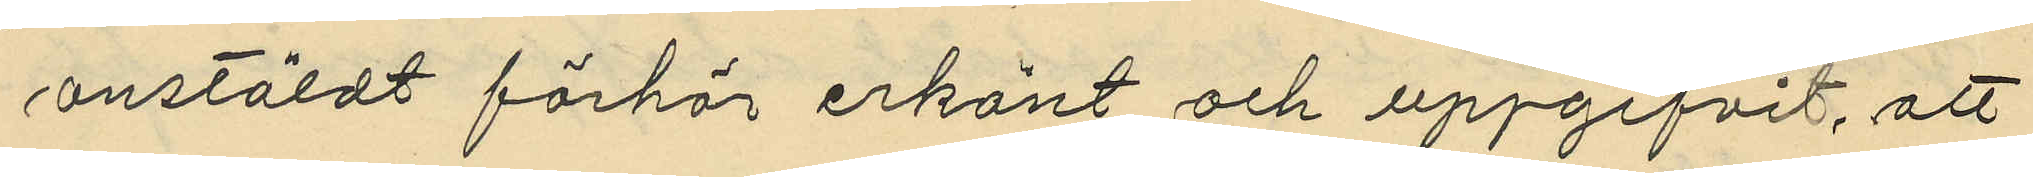anstäldt förhör erkänt och uppgifvit, att
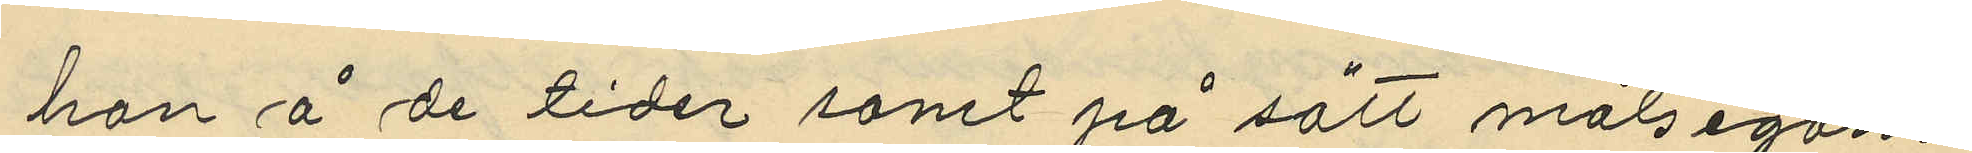han å de tider samt på sätt målsegan¬
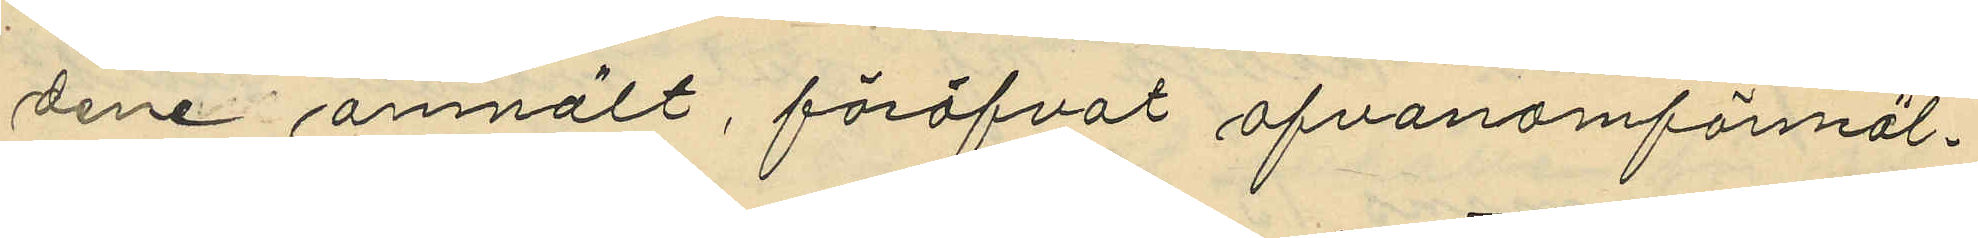dene anmält, föröfvat ofvanomförmäl¬
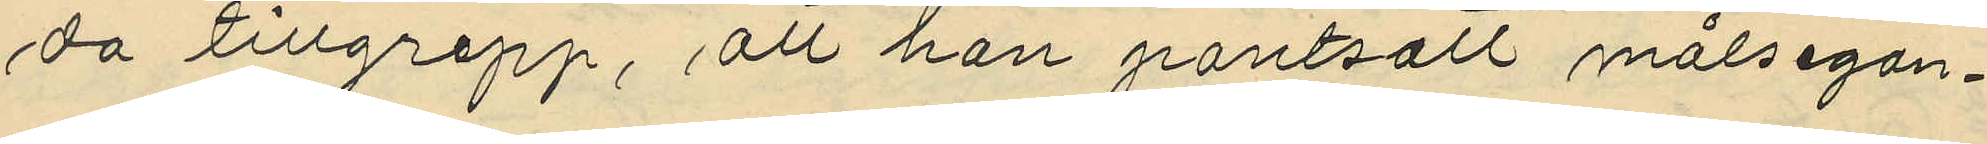da tillgrepp, att han pantsatt målsegan¬
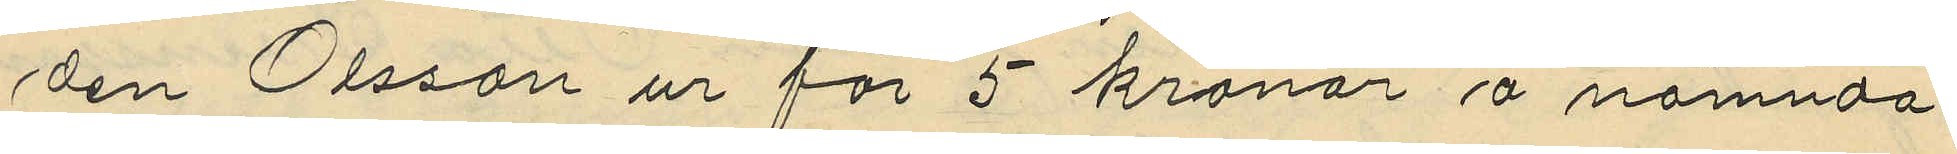den Olsson ur för 5 kronor å nämnda
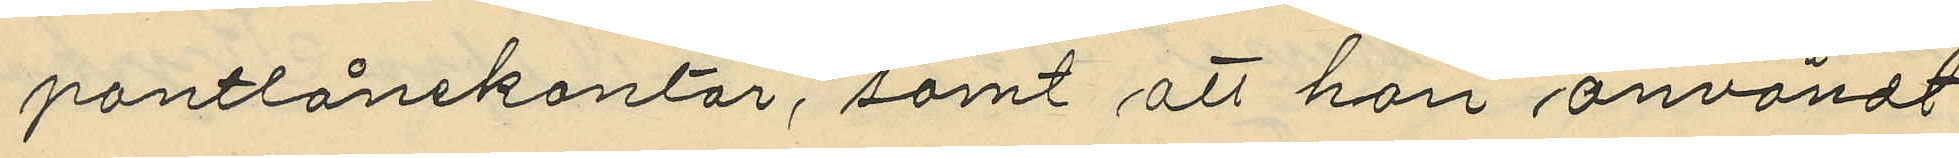pantlånekontor, samt att han användt
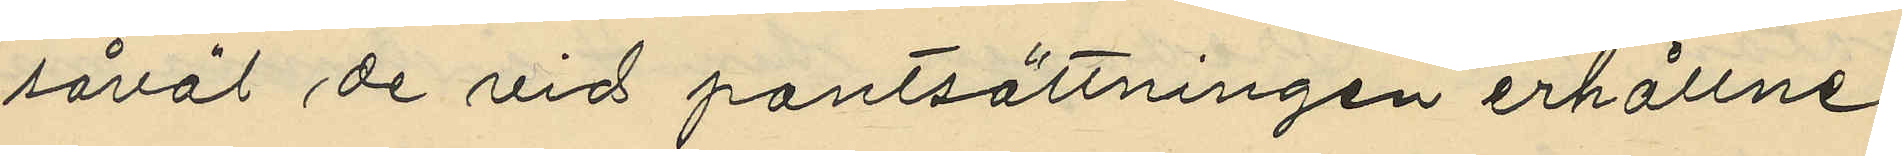såväl de vid pantsättningen erhållne
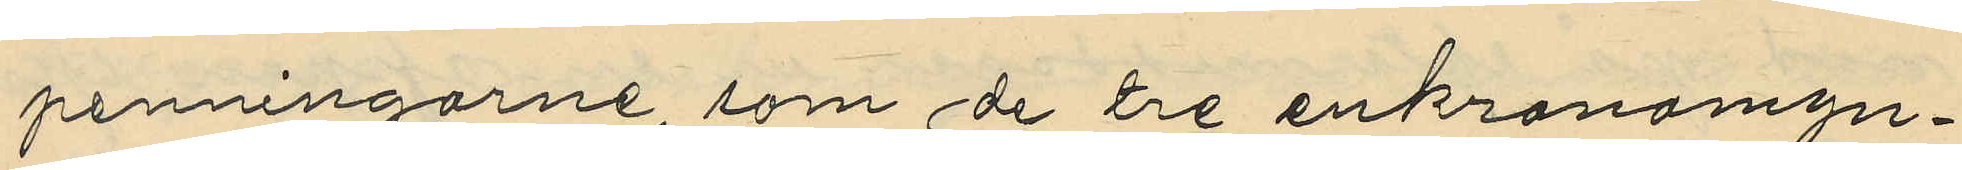penningarne, som de tre enkronomyn¬
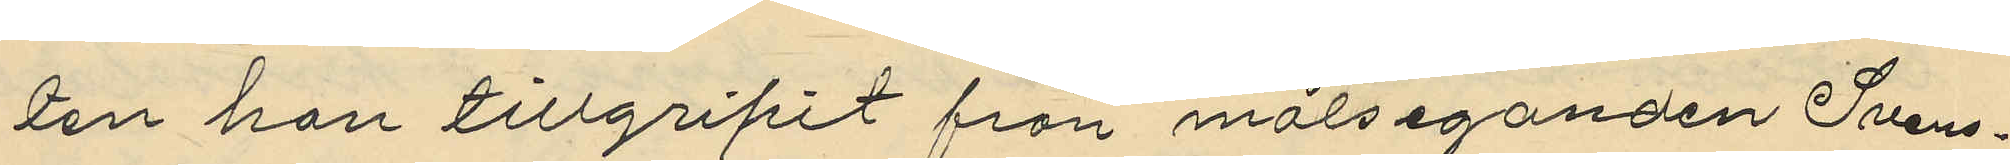den han tillgripit från målseganden Svens¬
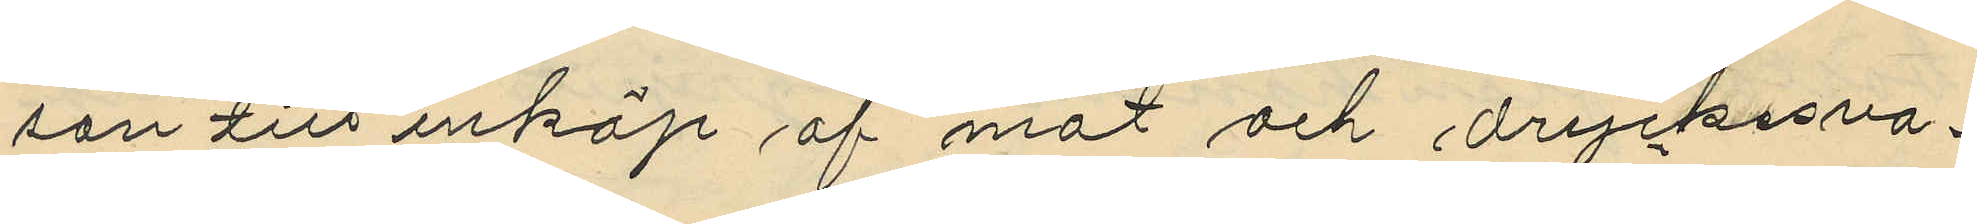son till inköp af mat och dryckesva¬
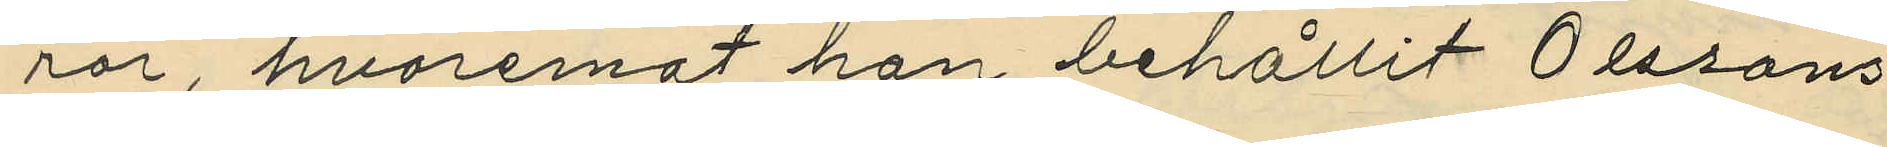ror, hvaremot han behållit Olssons
